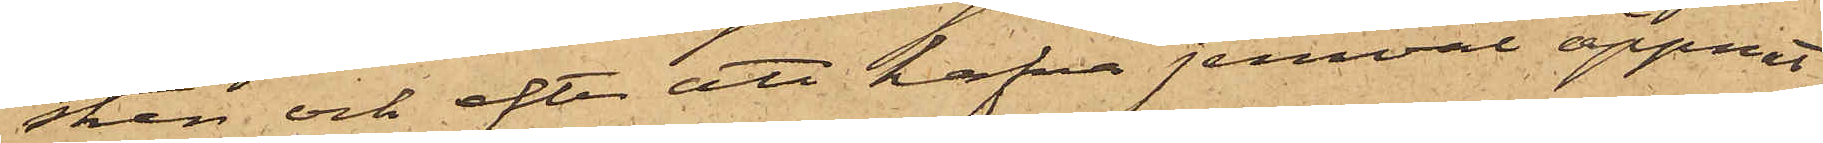stren och efter att hafva jemväl öppnat
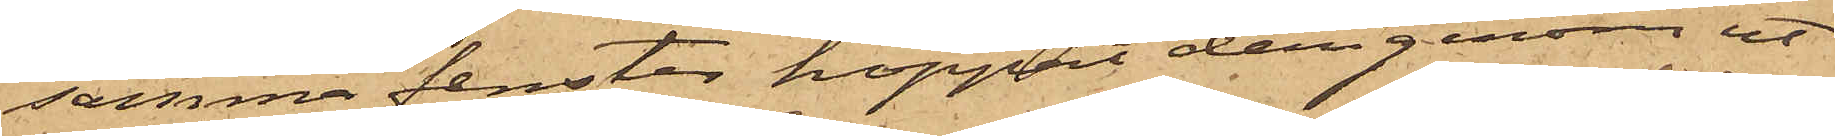samma fenster hoppat derigenom ut
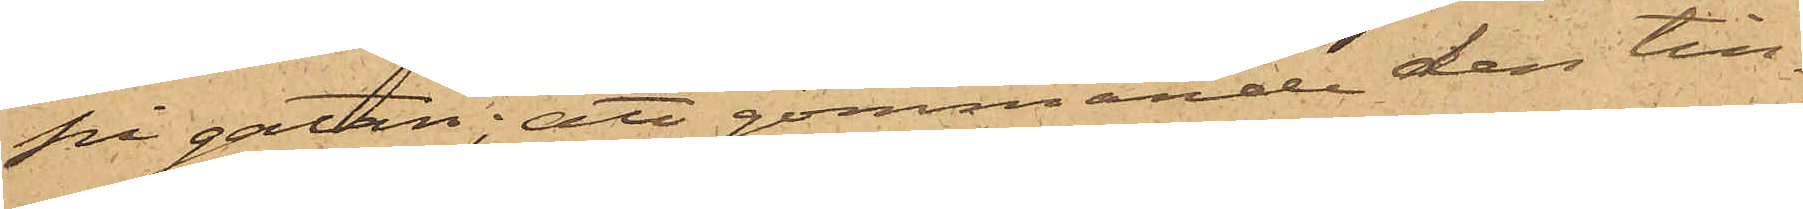på gatan; att gömmande den till¬
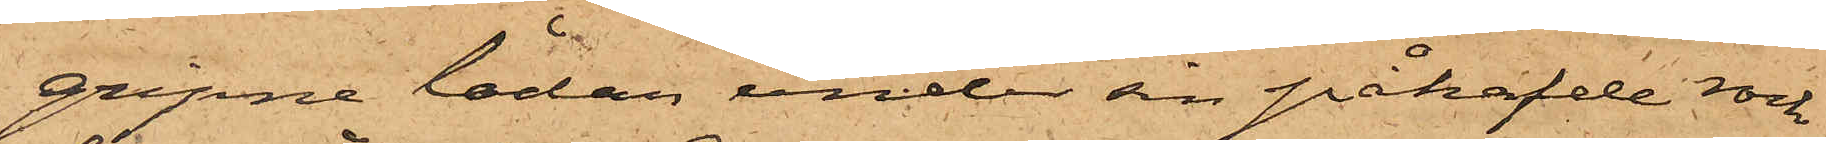gripne lådan under sin påhafde rock
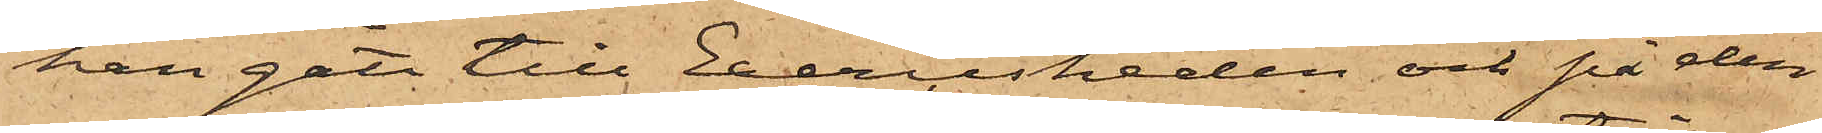han gått till Exercisheden och på den
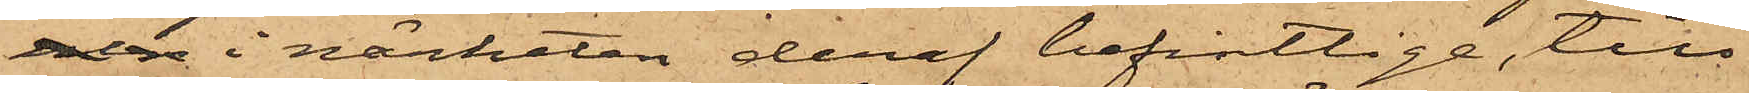 i närheten deraf befintlige, till
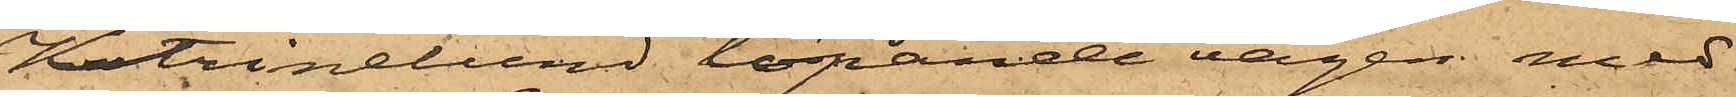Katrinelund löpande vägen med
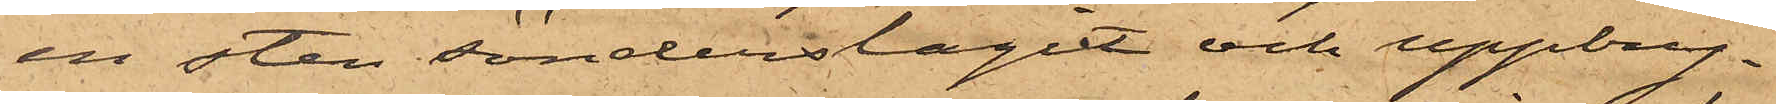en sten sönderslagit och uppbry¬
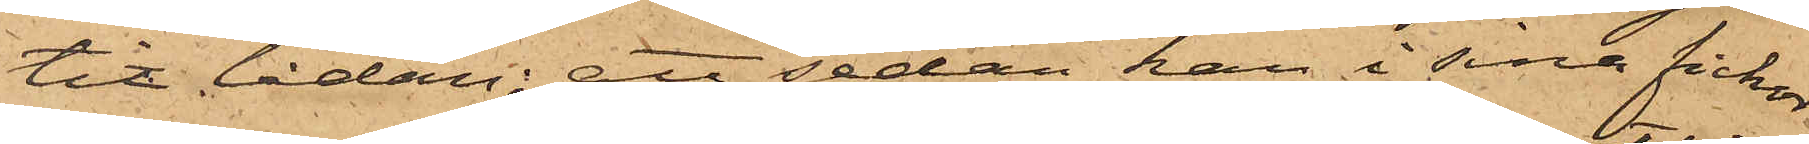tit lådan; att sedan han i sina fickor
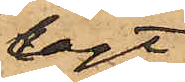lagt
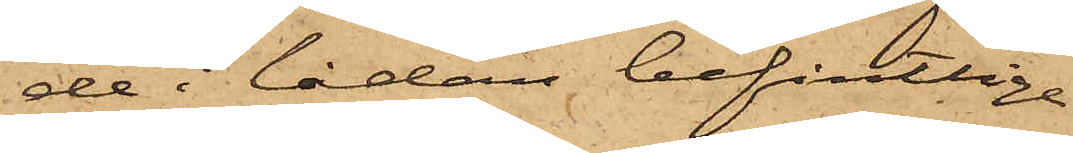de i lådan befintlige
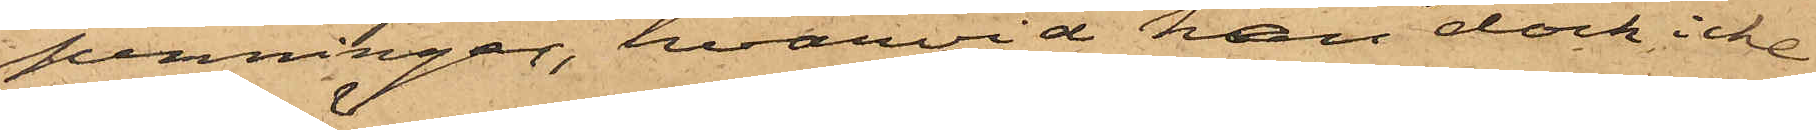penningar, hvarvid han dock icke
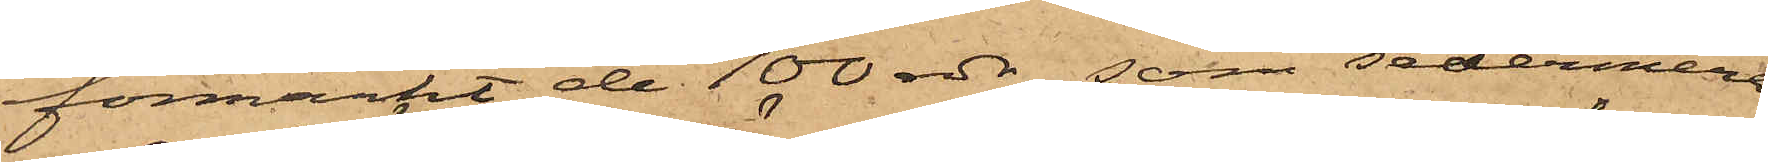förmärkt de 100 rdr, som sedermera
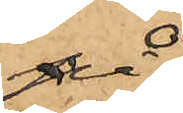på
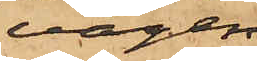vägen
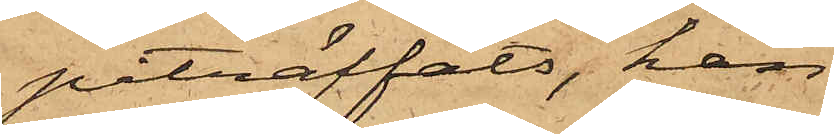påträffats, han
